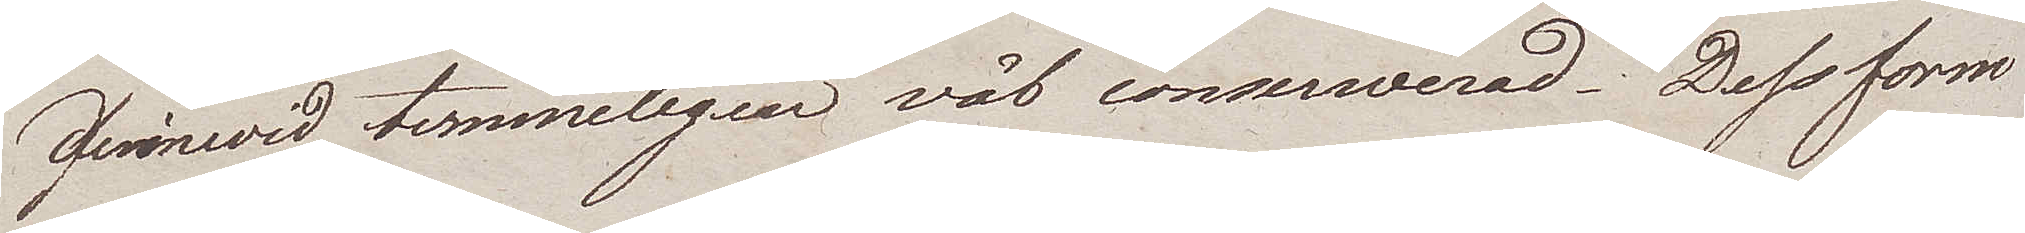derinwid temmeligen väl conserwerad. Dess form
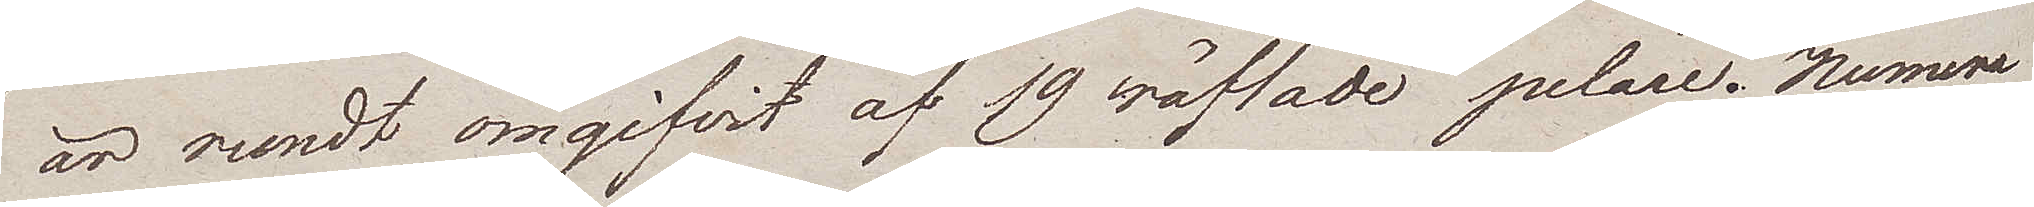är rundt omgifvit af 19 räfflade pelare. Numera
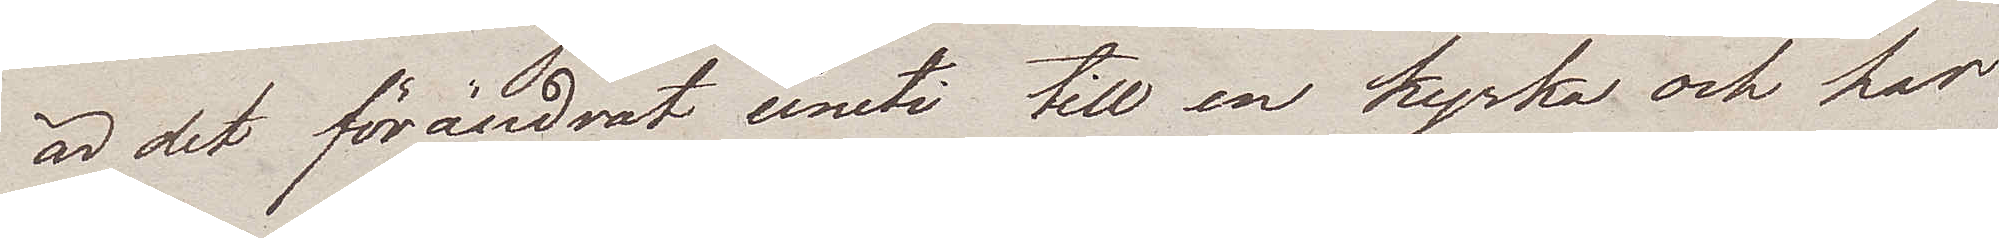är det förändrat inuti till en kyrka och har
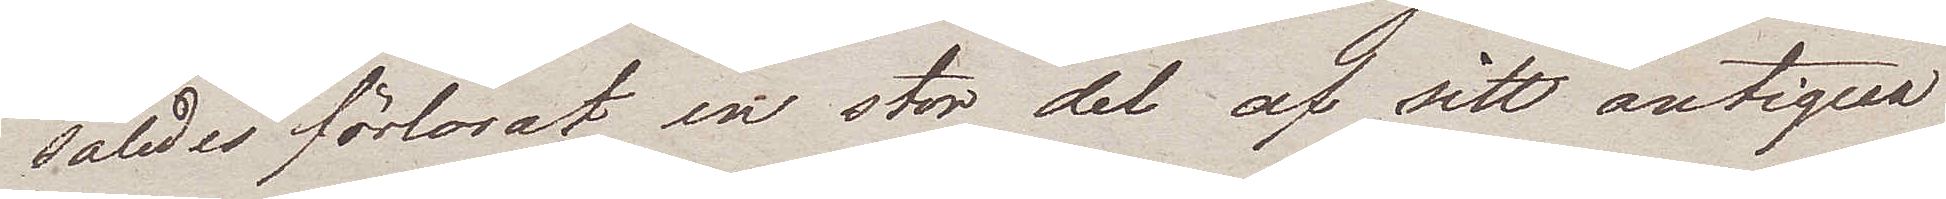således förlorat en stor del af sitt antiqua
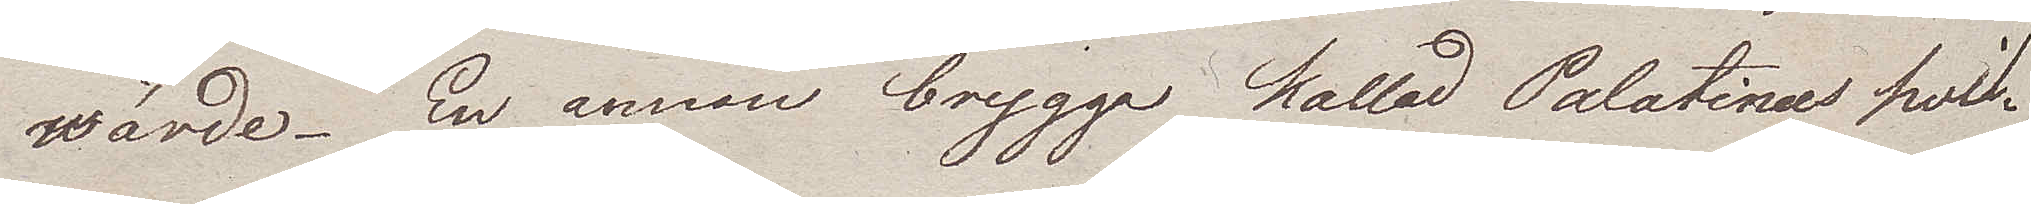wärde. En annan brygga kallad Palatinus hvil¬
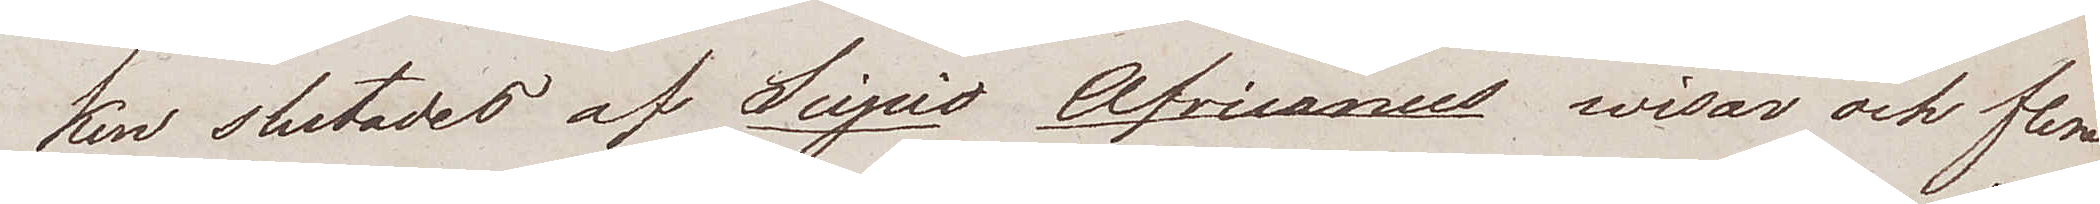ken slutades af Scipio Africances wisar och flera
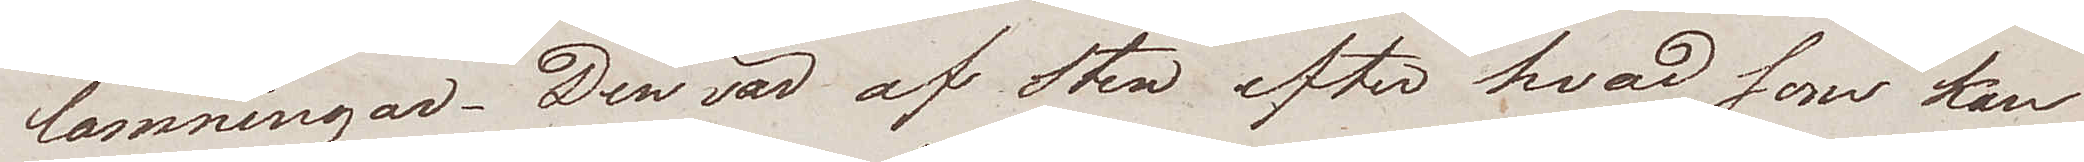lämningar. Den var af sten efter hvad som kan
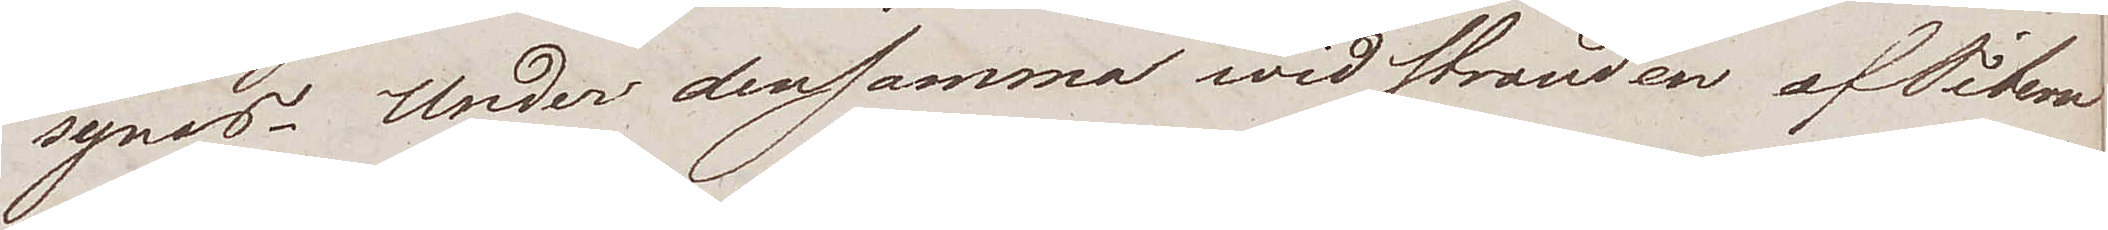synas. Under densamma wid stranden af Tibern
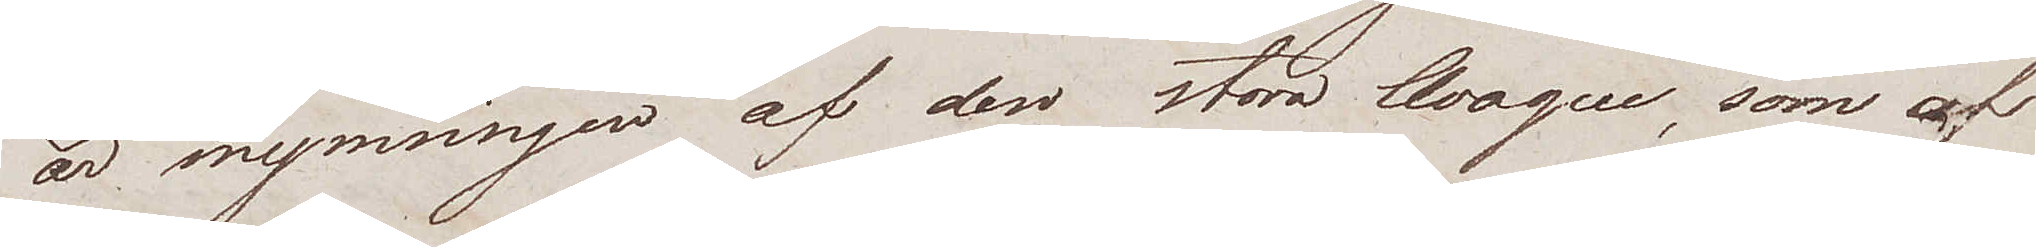är mynningen af den stora Auaque, som af
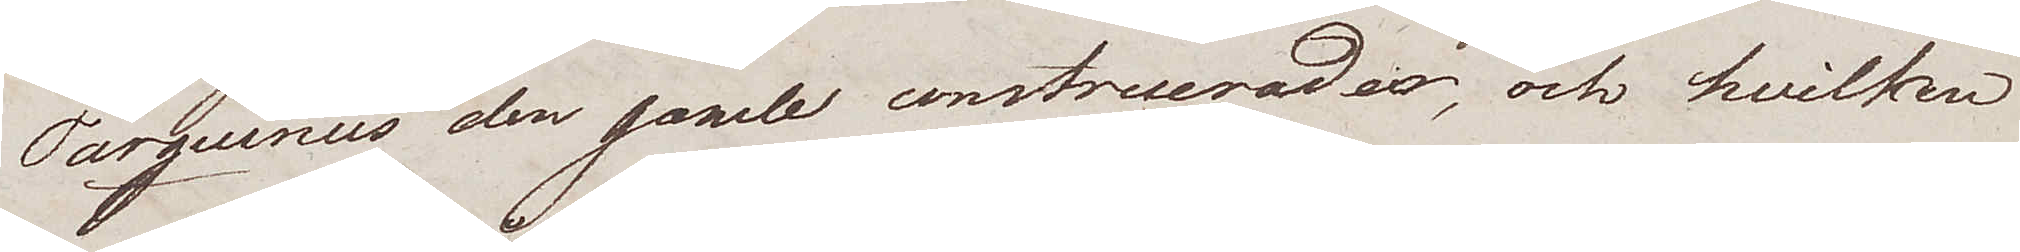Tarquinus den gamle construerade, och hvilken
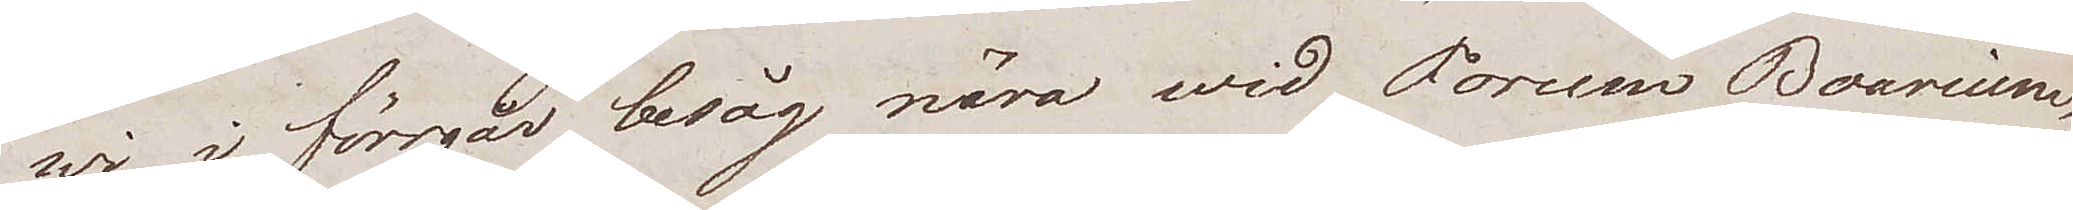wi i förrgår besåg nära wid Forum Boarium,
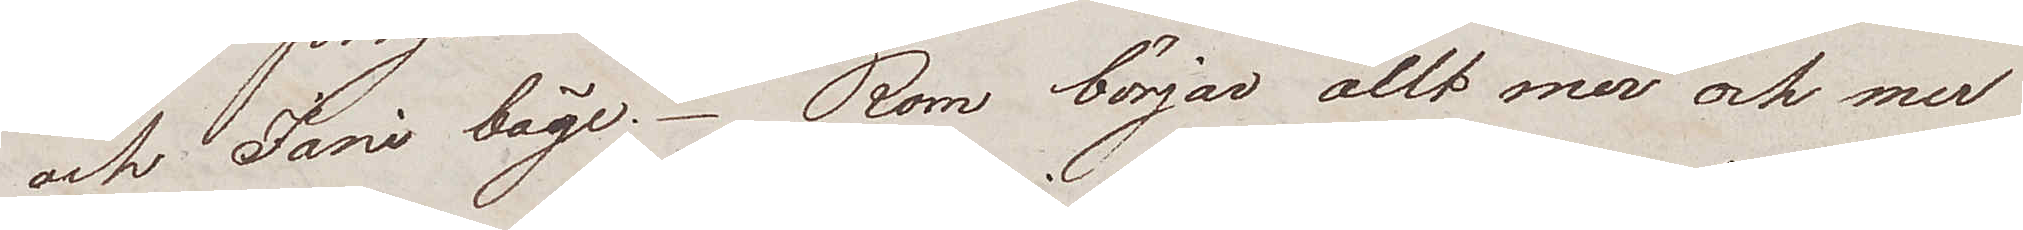och Jani båge. Rom börjar allt mer och mer
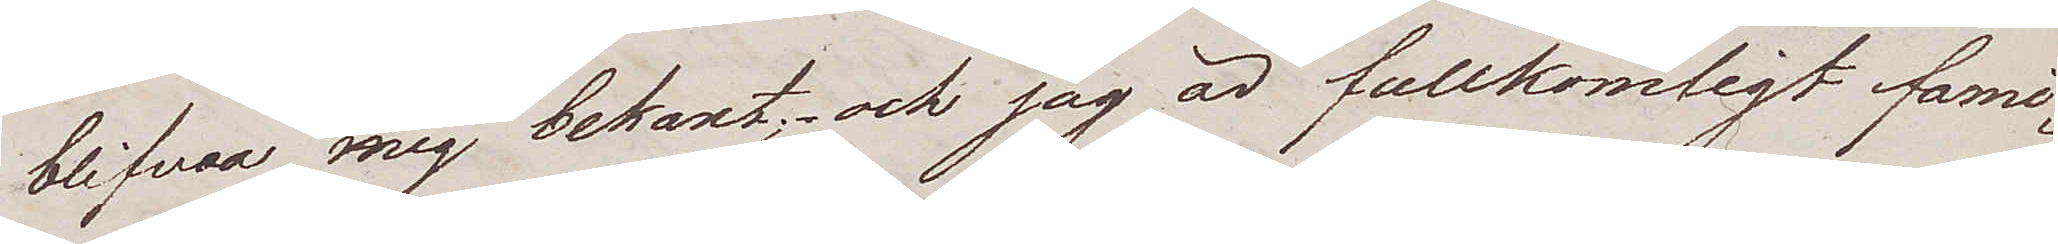blifwa mig bekant; och jag är fullkomligt fami¬
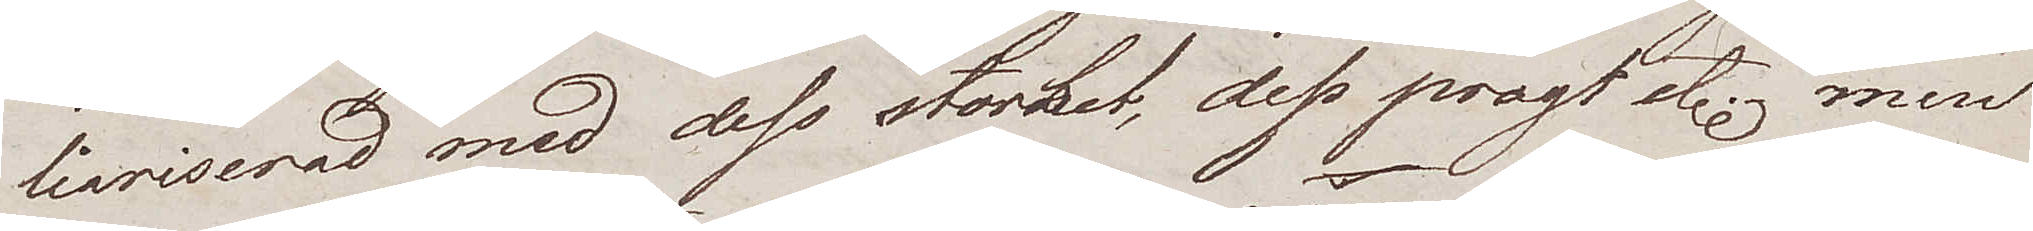liariserad med dess storhet, dess pragt etc. men
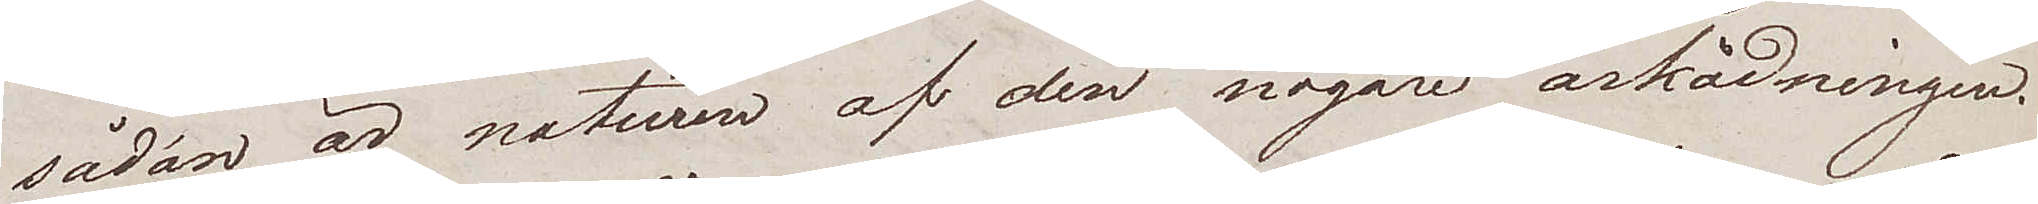sådan är naturen af den nogare åskådningen.
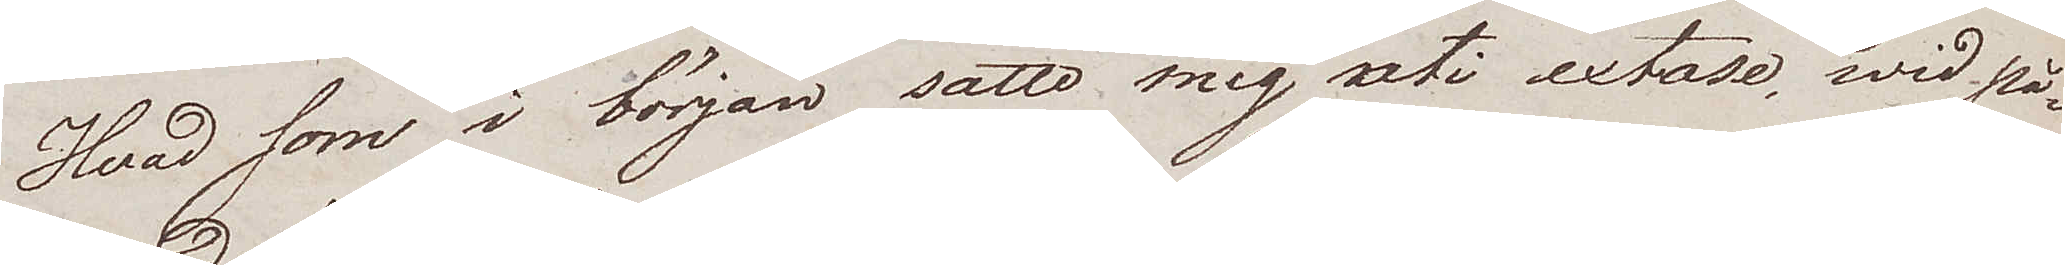Hvad som i början satte mig uti extase, wid på¬
